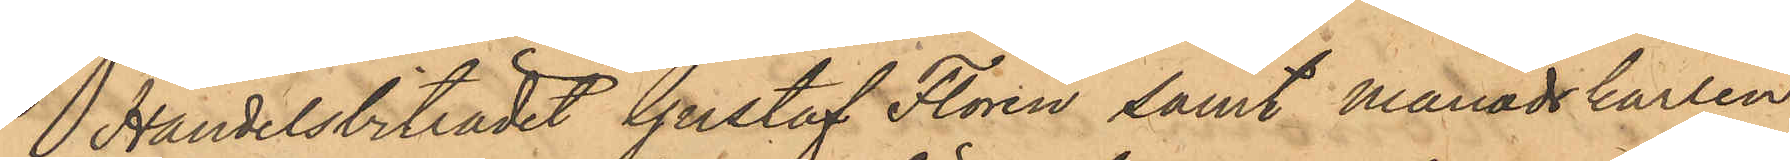Handelsbiträdet Gustaf Florén samt månadskarlen
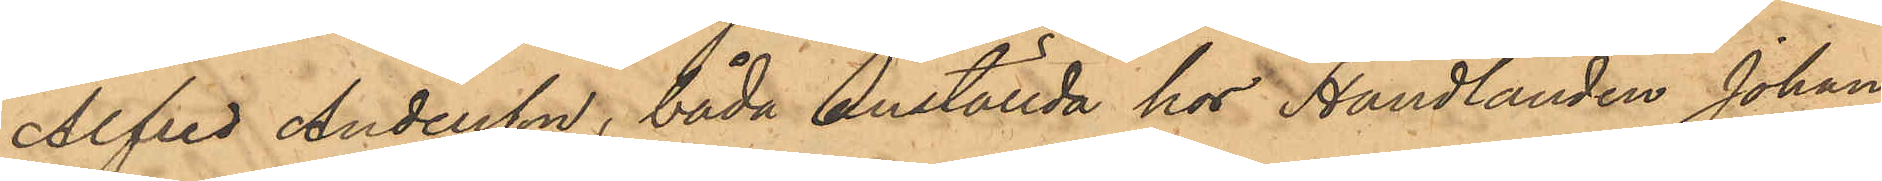Alfred Andersson, båda anställda hos Handlanden Johan
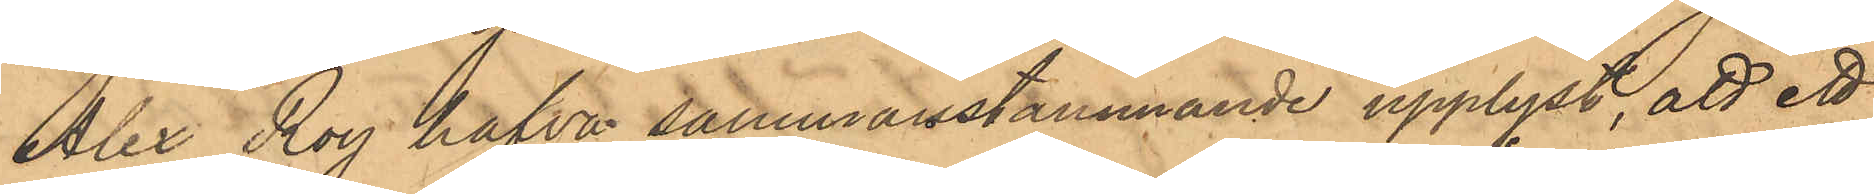Alex Roy hafva sammanstämmande upplyst, att ett
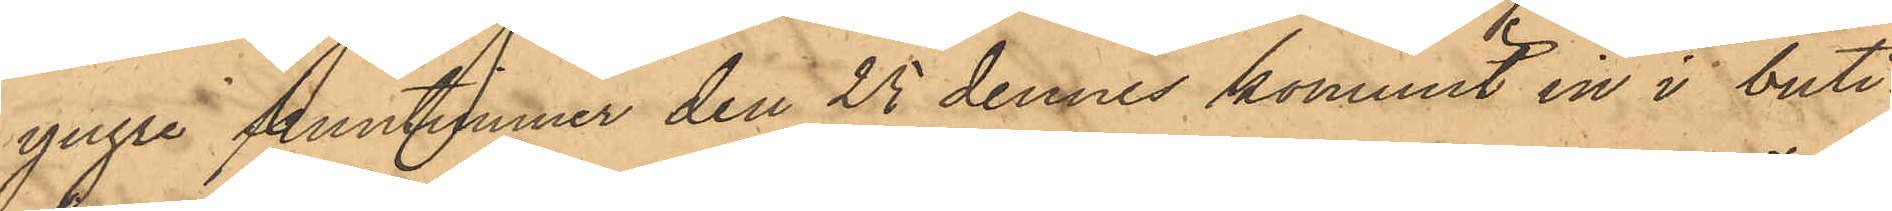yngre fruntimmer den 25 dennes kommit in i buti¬
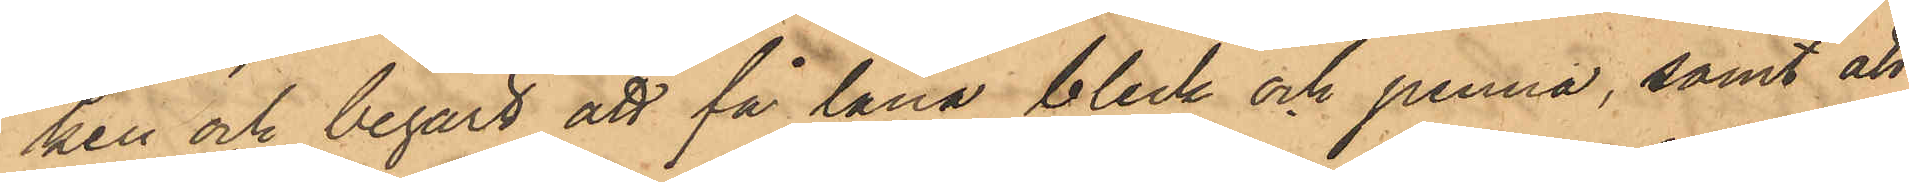ken och begärt att få låna bleck och penna, samt att
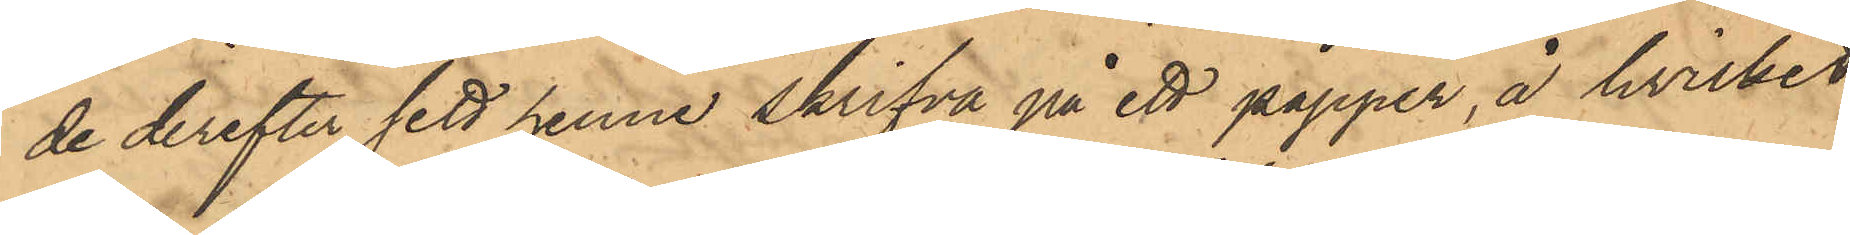de derefter sett henne skrifva på ett papper, å hvilket
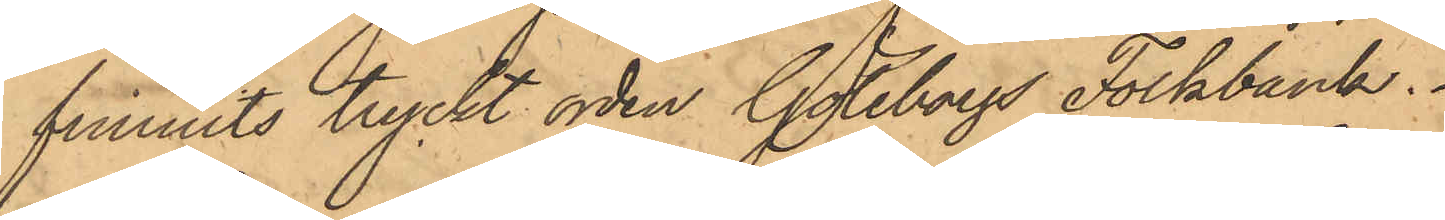funnits tryckt orden Göteborgs Folkbank.
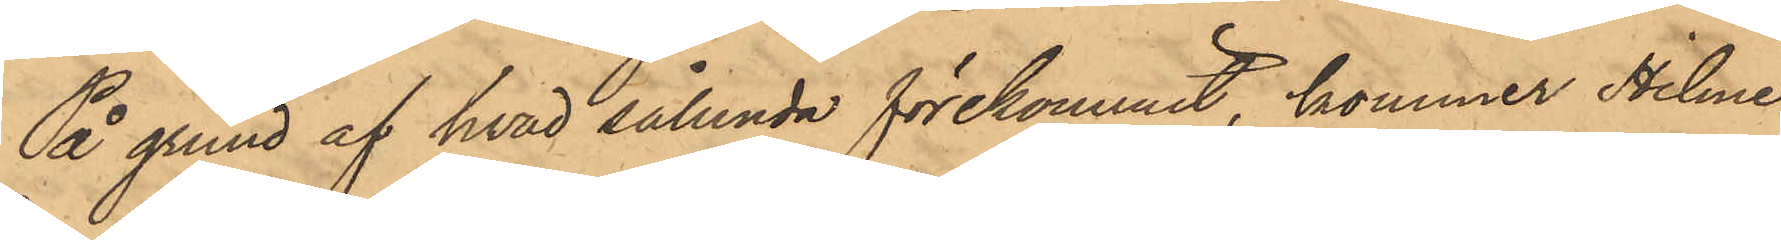På grund af hvad sålunda förekommit, kommer Hilmer
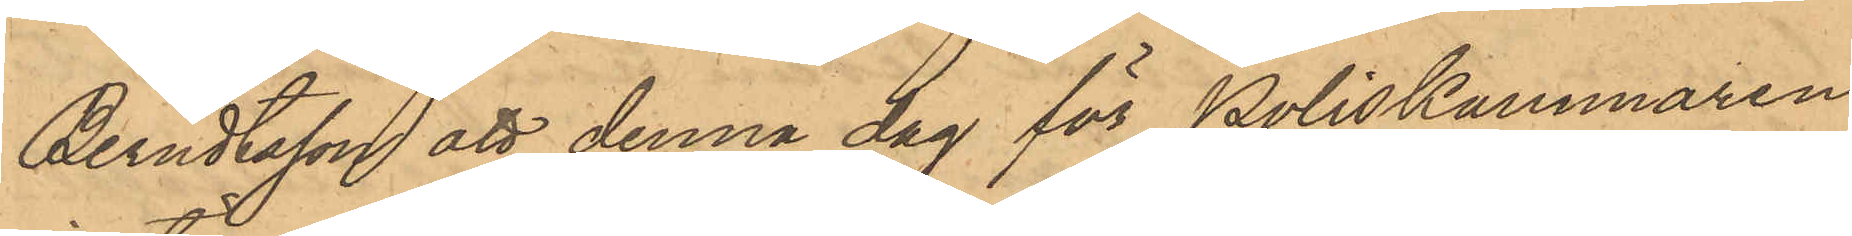Berndtsson att denna dag för Poliskammaren
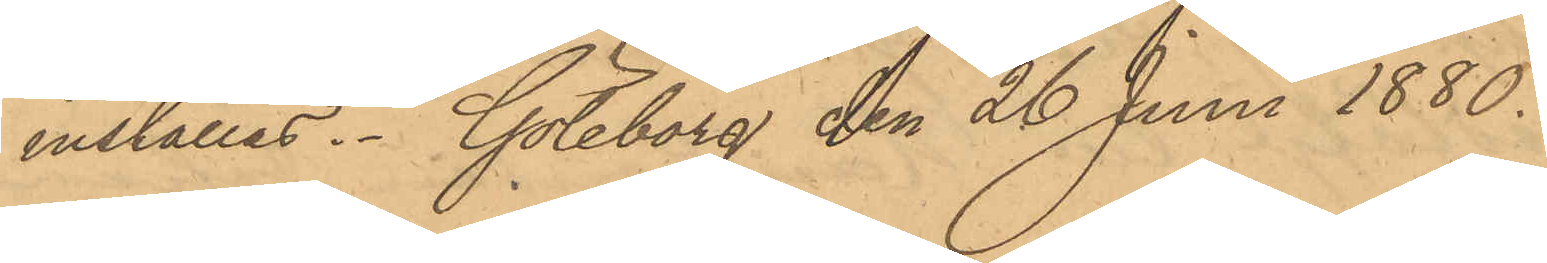inställas. Göteborg den 26 Juni 1880.
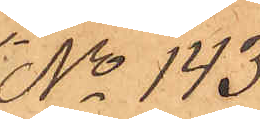No 143.
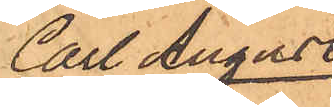Carl August
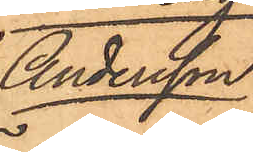Andersson.
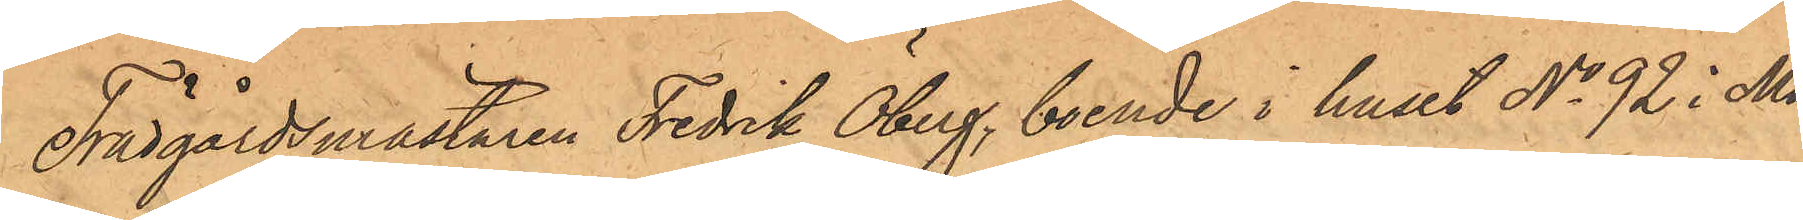Trädgårdsmästaren Fredrik Öberg, boende i huset No 92 i Ma¬
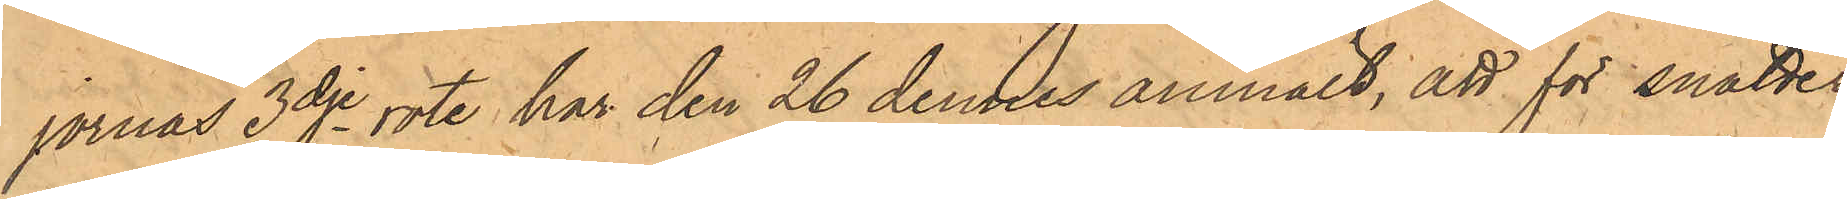jornas 3dje rote har den 26 dennes anmält, att för snatteri
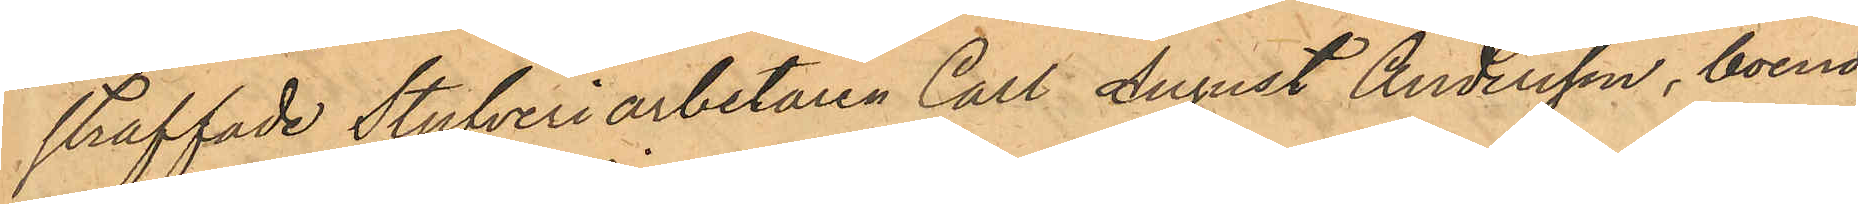straffade Stufveriarbetaren Carl August Andersson, boende
